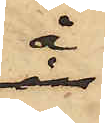å
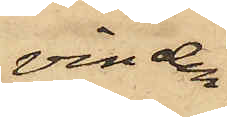vinden
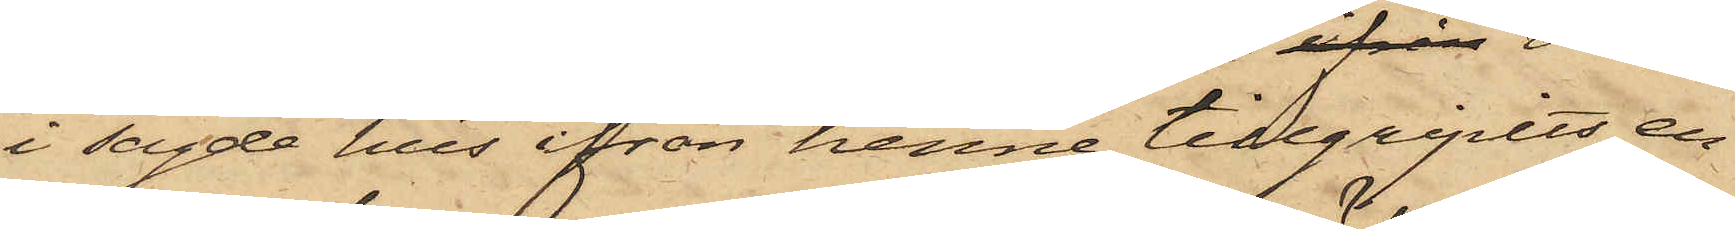i sagde hus ifrån henne tillgripits en
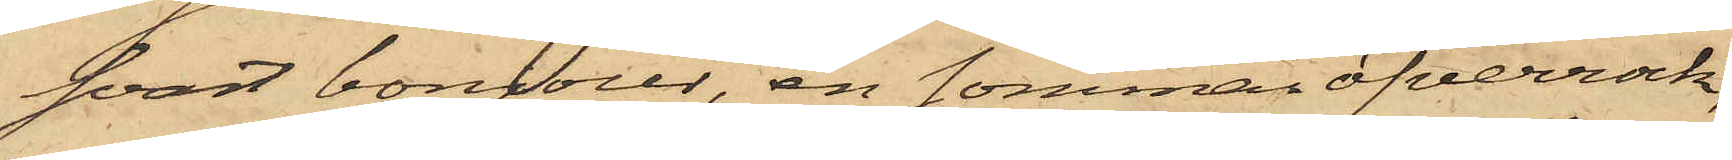svart bonjour, en sommaröfverrock,
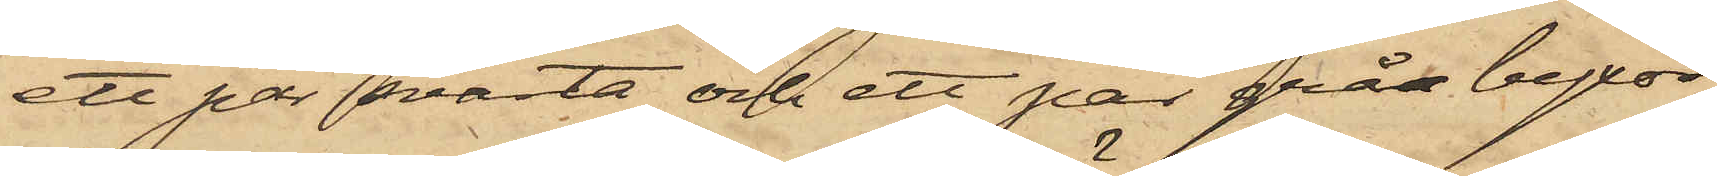ett par svarta och ett par gråa byxor,
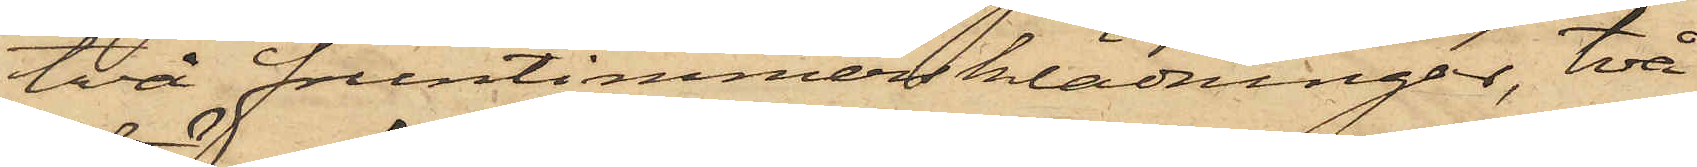två fruntimmersklädningar, två
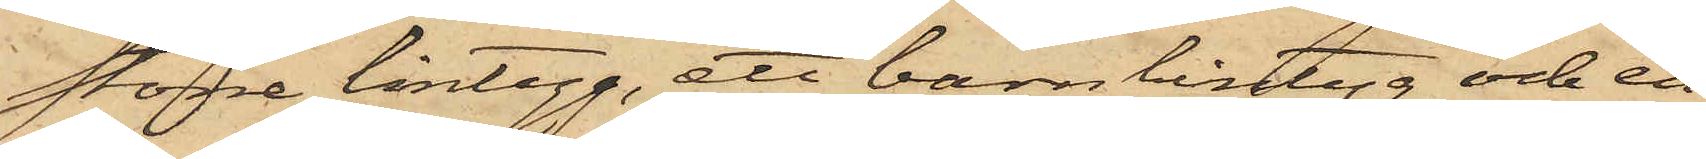större lintyg, att barnlintyg och en
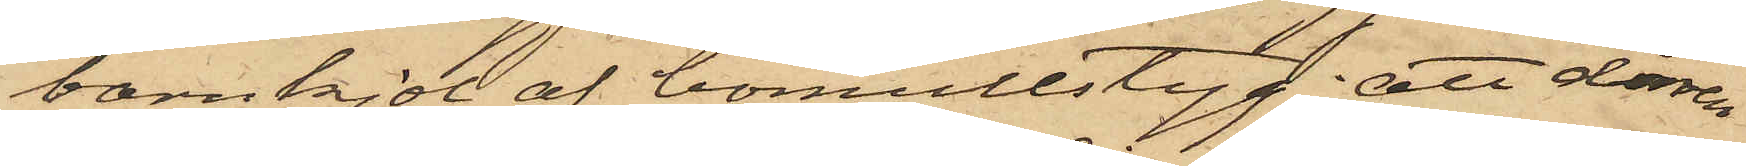barnkjol af bomullstyg; att dörren
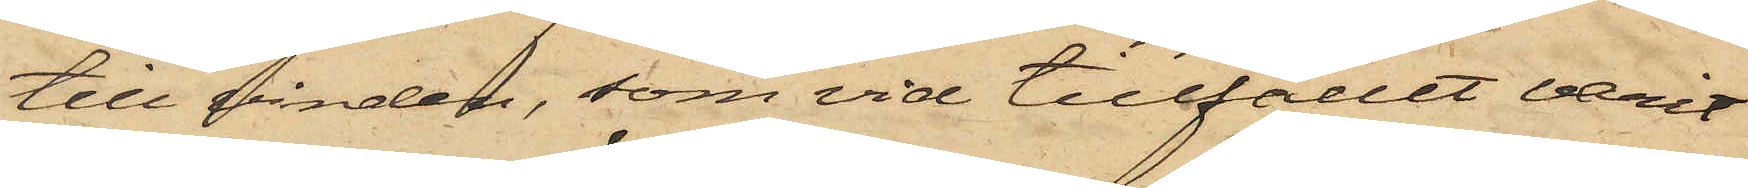till vinden, som vid tillfället varit
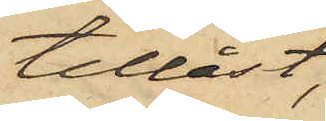tillåst,
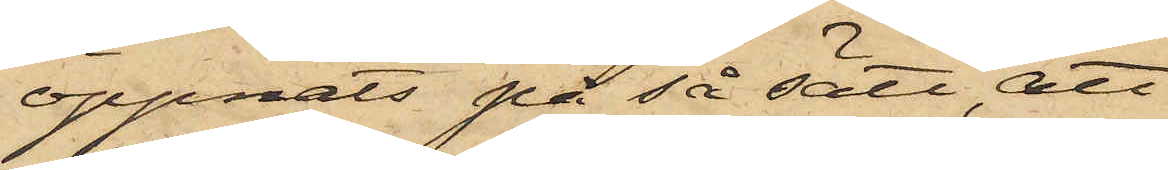öppnats på så sätt att
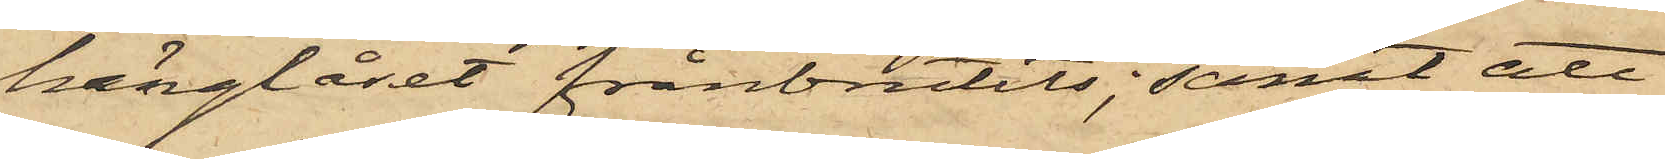hänglåset frånbrutits; samt att
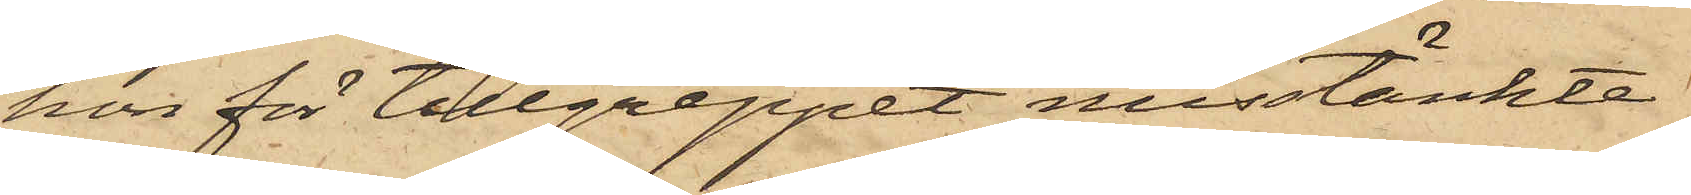hon för tillgreppet misstänkte
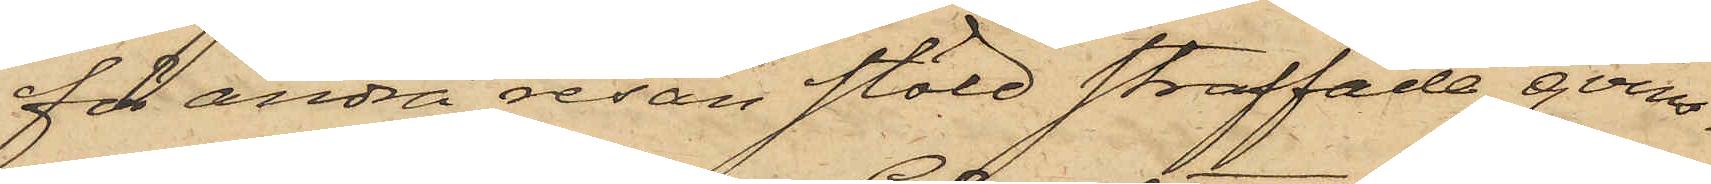för andra resan stöld straffade qvin¬
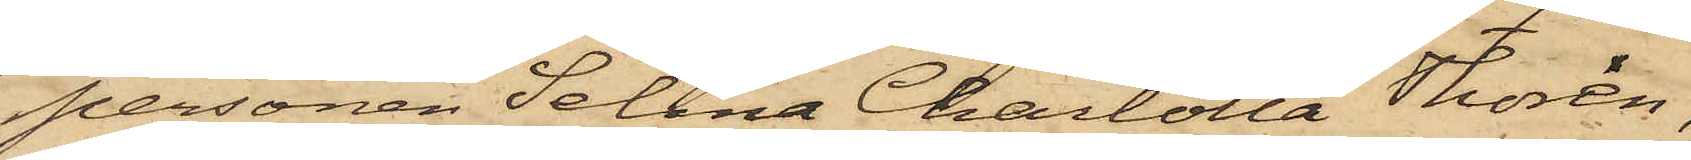personen Selma Charlotta Thorén,
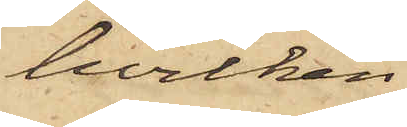hvilken
